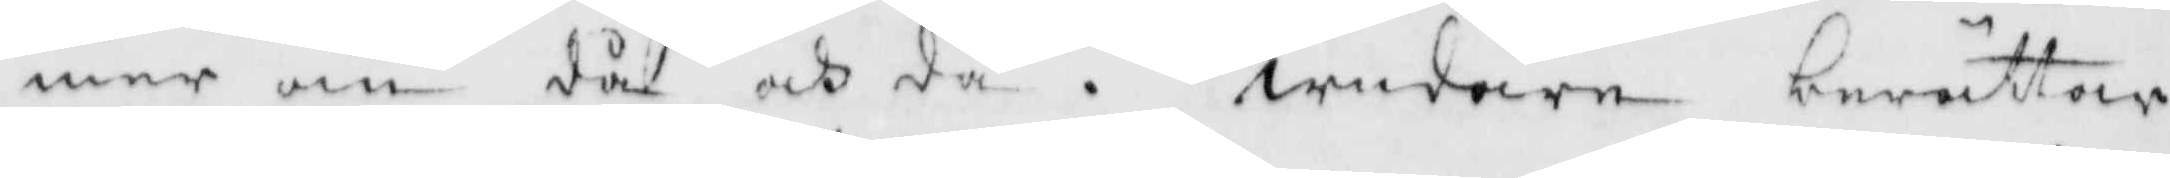mer än då och då. widare berättade
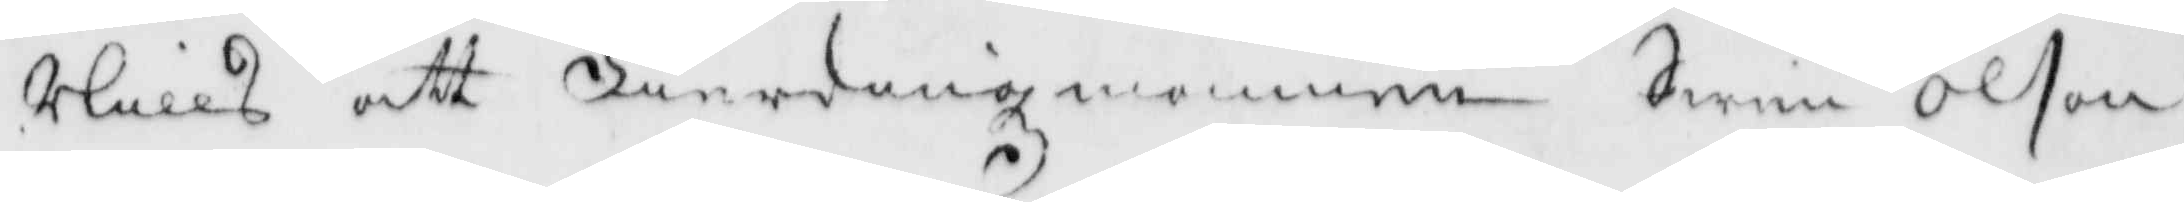Nills att Fierdingsmannen Swen olsson
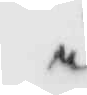i
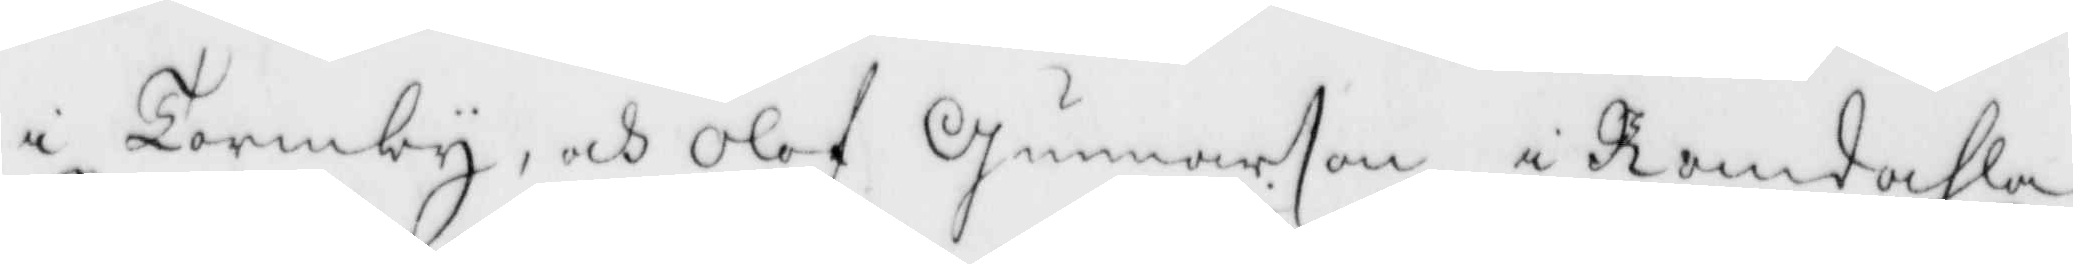i Tormby, och Olof Gunnarson i Romdahla
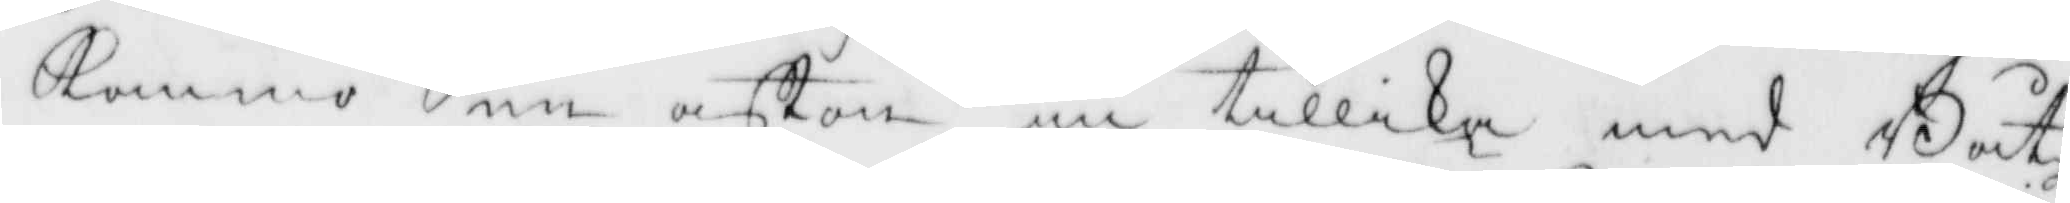kommo en afton in tillika med Båtz¬
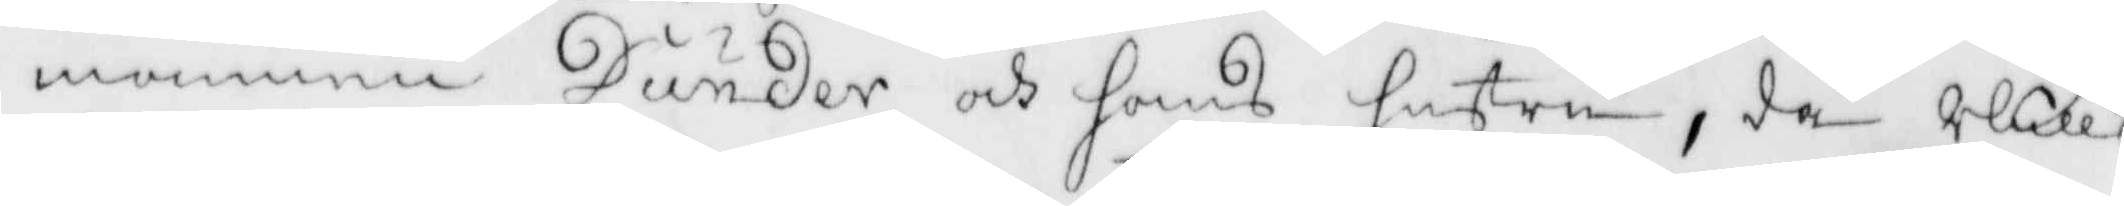mannen Dunder och hans hustru, då Nills
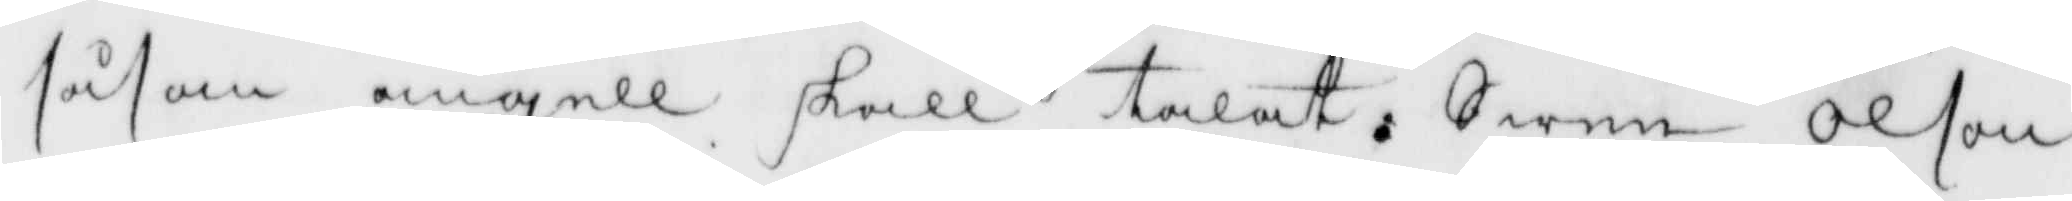såsom ängell skall talat, Swen Olson
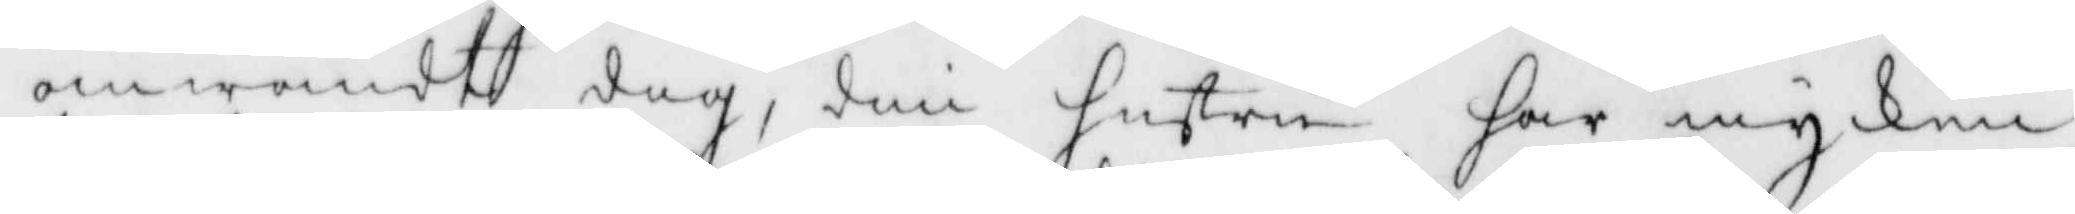omwändt dig, din hustru har mycken
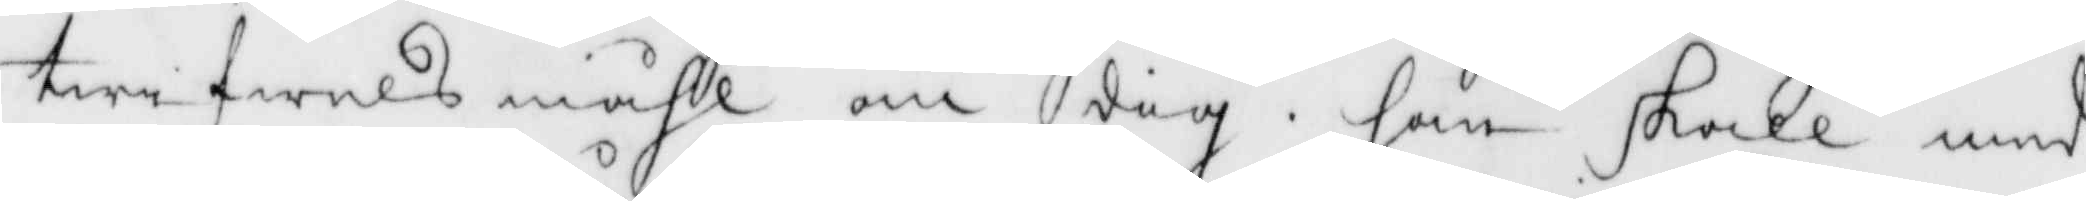twifwelsmåhl om dig, han skall med
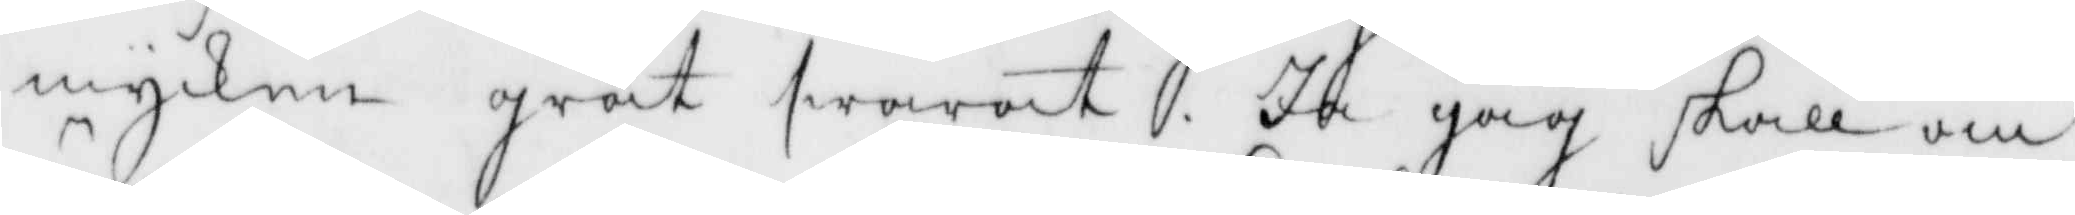mycken gråt swarat Ja Jag skall om
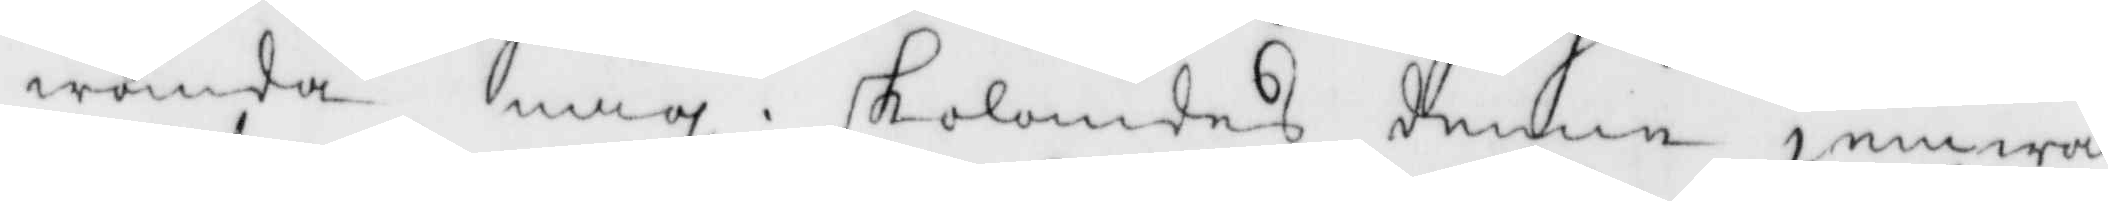wända mig, skolandes denne jemwäl
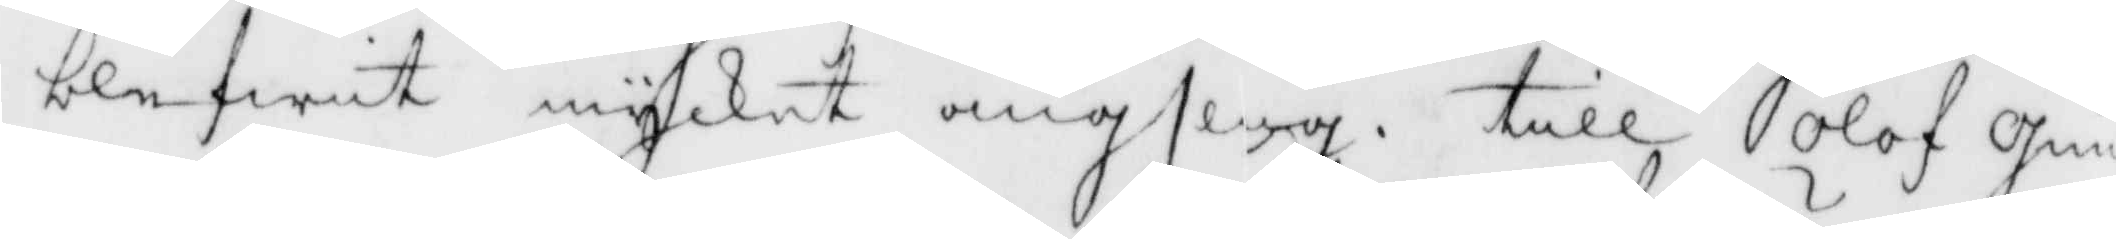blefwit mycket ängslig. till Olof Gun¬
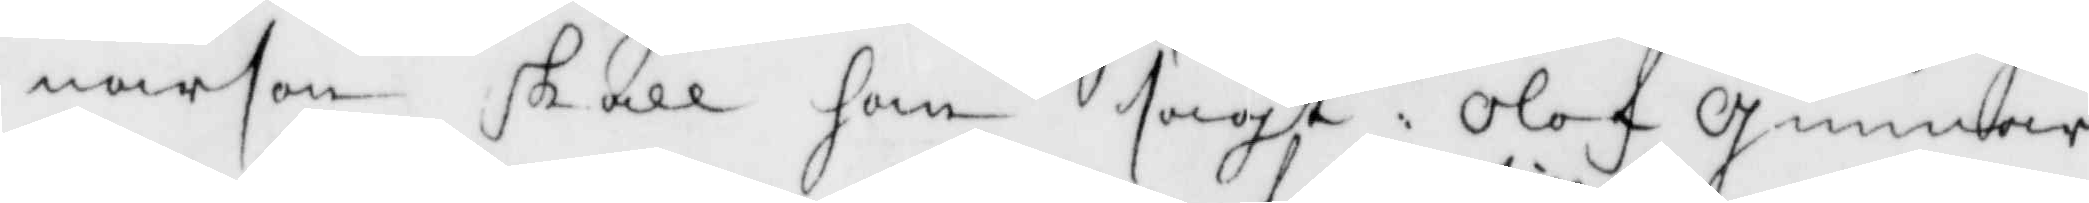narson skall han sagt: Olof Gunnar¬
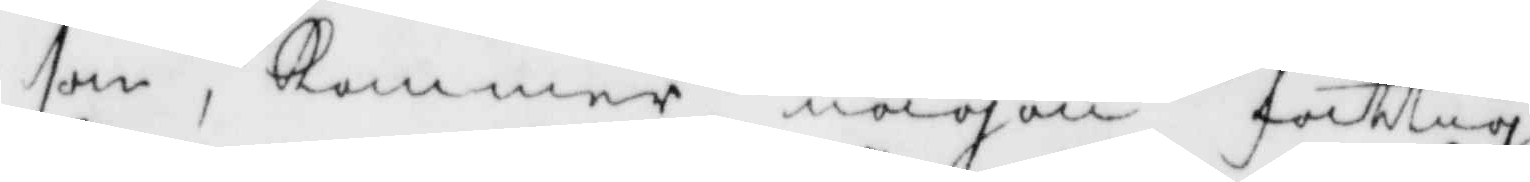son, kommer någon fattig
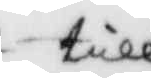till
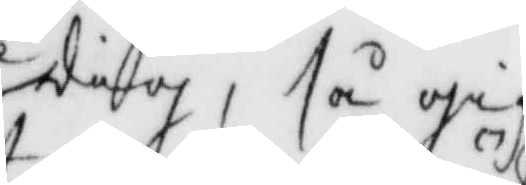dig, så gif
